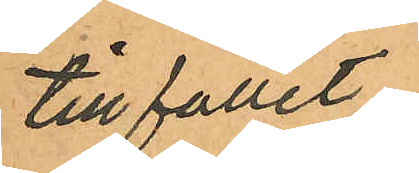tillfället
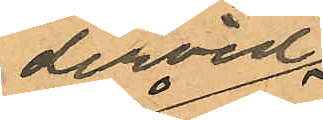dervid
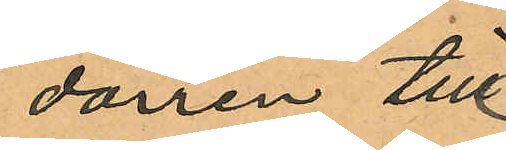dörren till
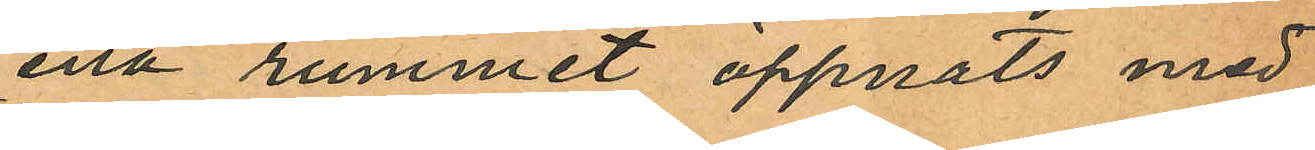ena rummet öppnats med
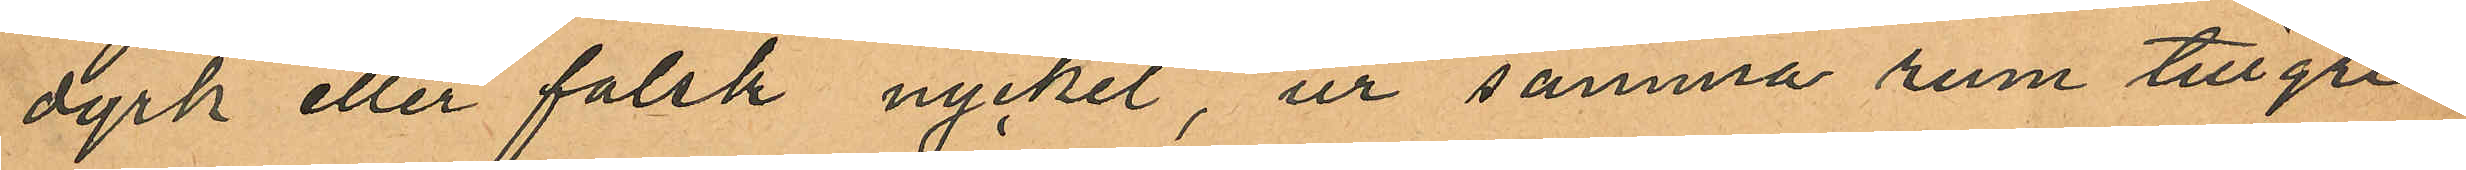dyrk eller falsk nyckel, ur samma rum tillgri¬
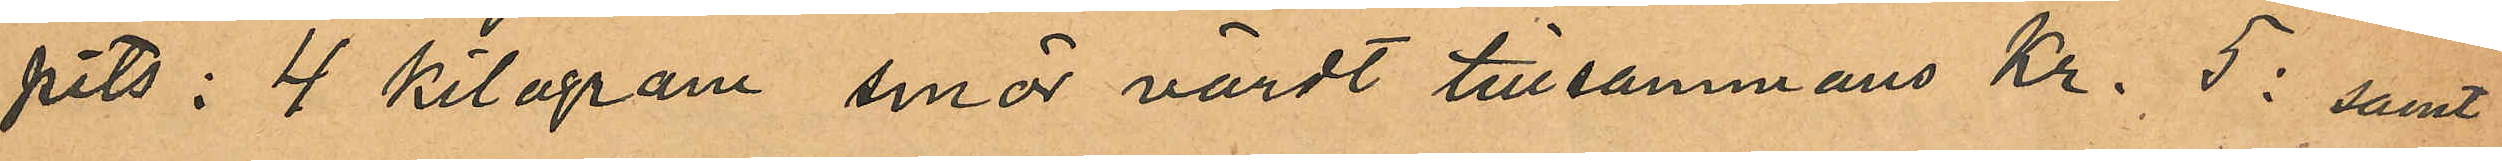pits: 4 kilogram smör värdt tillsammans Kr. 5: samt
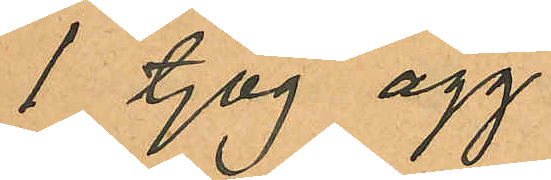1 tjog ägg
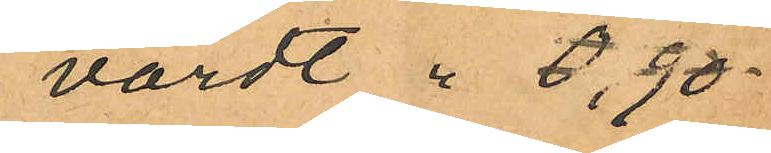värdt " 6,90
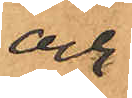och
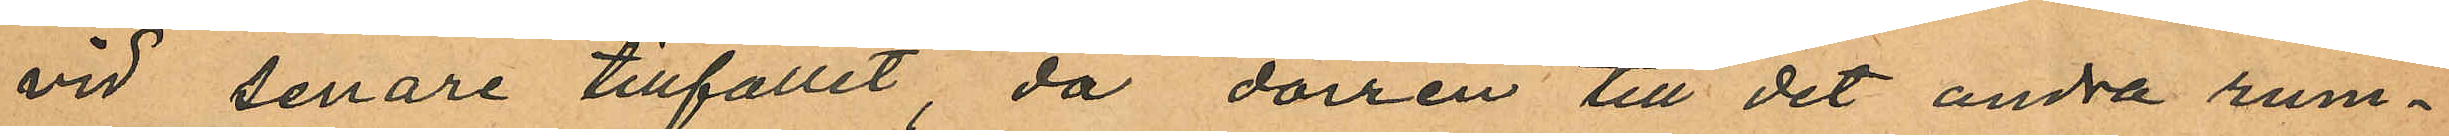vid senare tillfället, då dörren till det andra rum¬
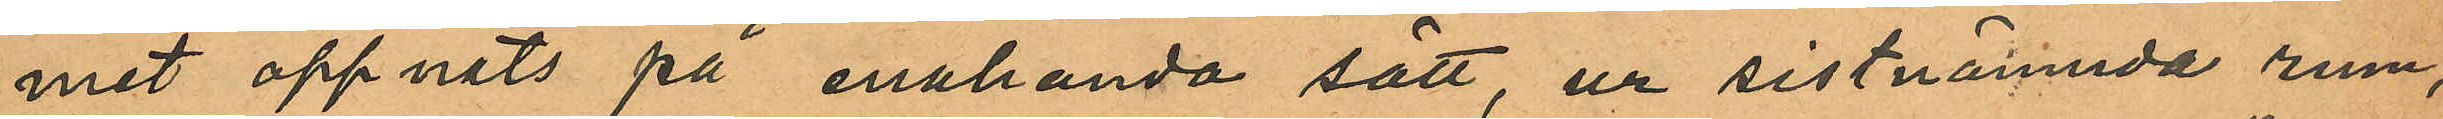mit öppnats på enahanda sätt, ur sistnämnda rum,
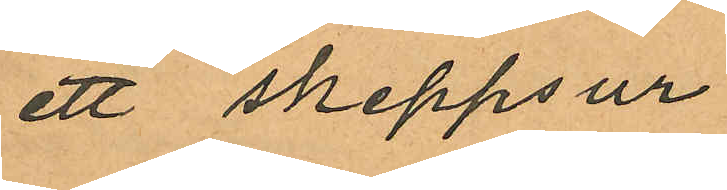ett skeppsur
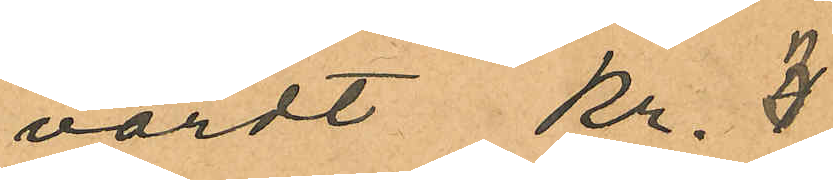värdt Kr. 3
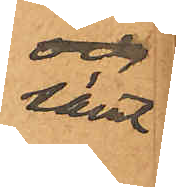samt
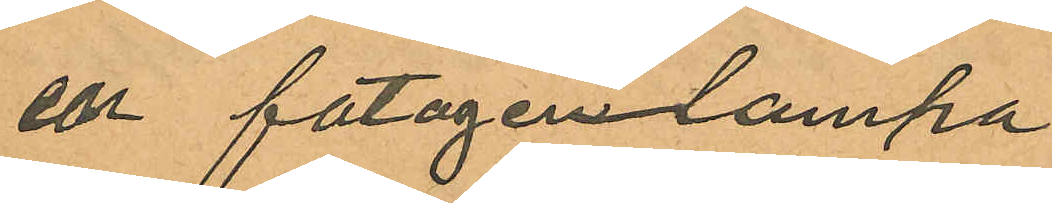en fotogenlampa
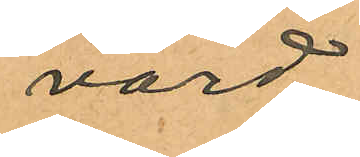värd
